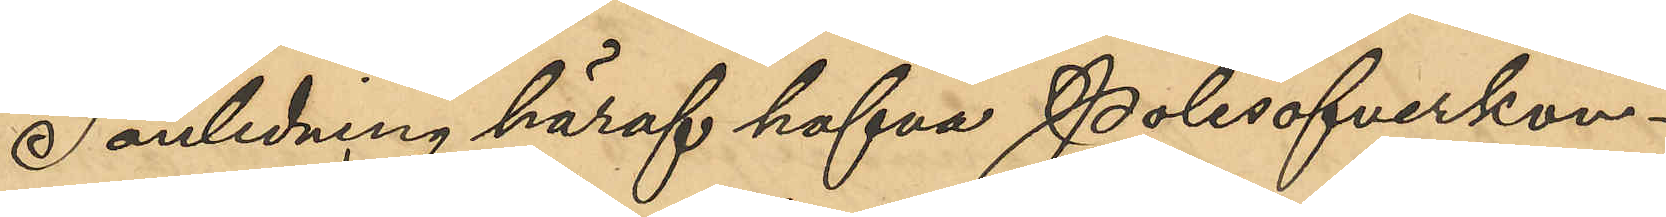I anledning häraf hafva Polisöfverkon¬
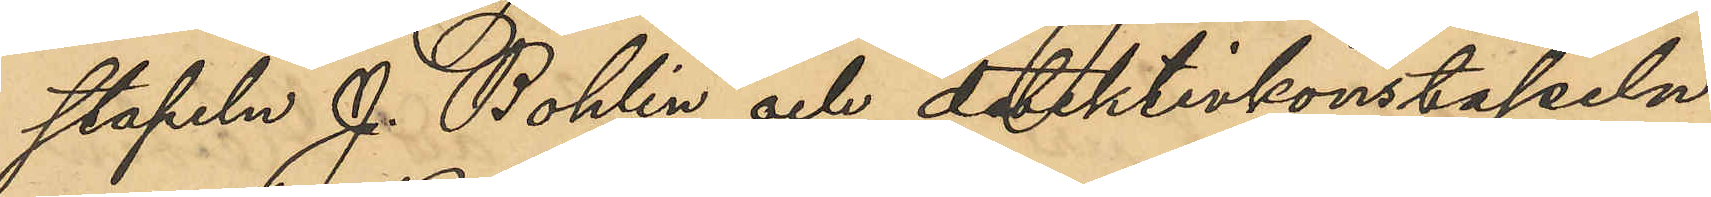stapeln J. Bohlin och detektivkonstapeln
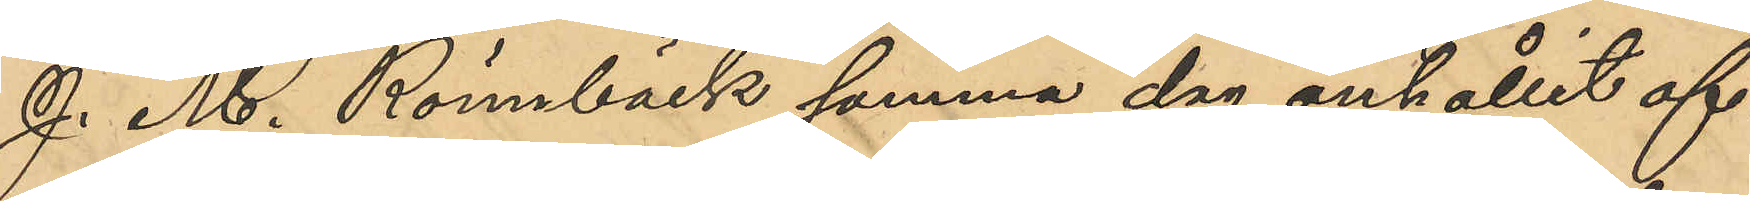J. M. Rönnbäck samma dag anhållit of¬
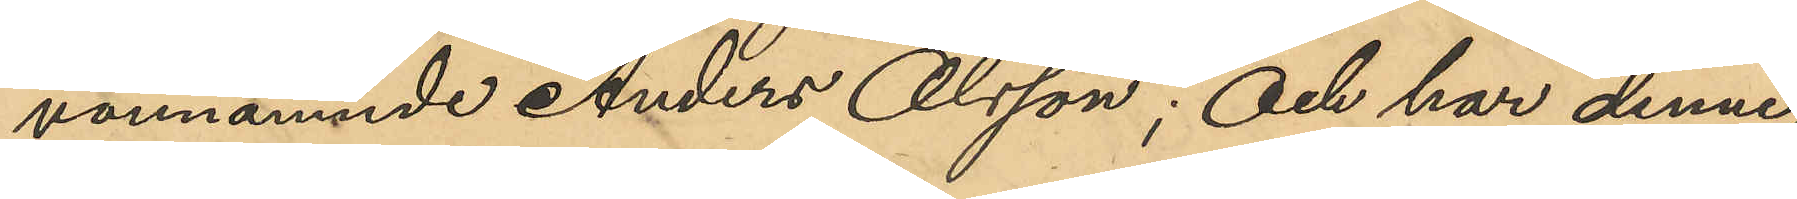vannämnde Anders Olsson; och har denne
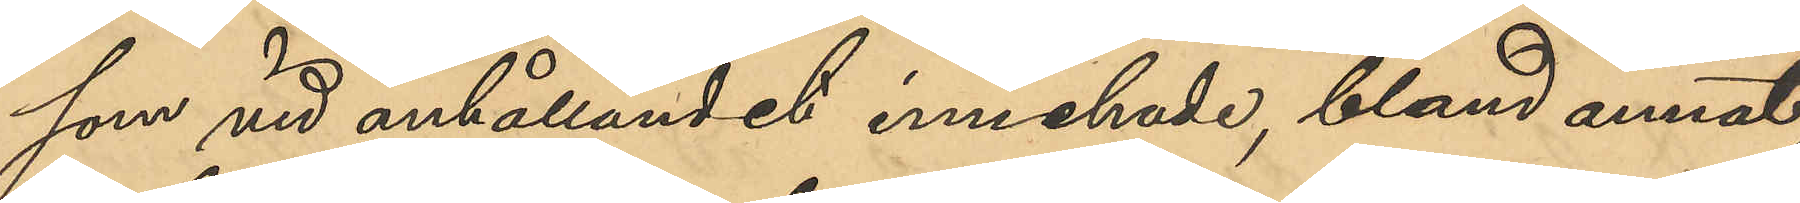som vid anhållandet innehade, bland annat,
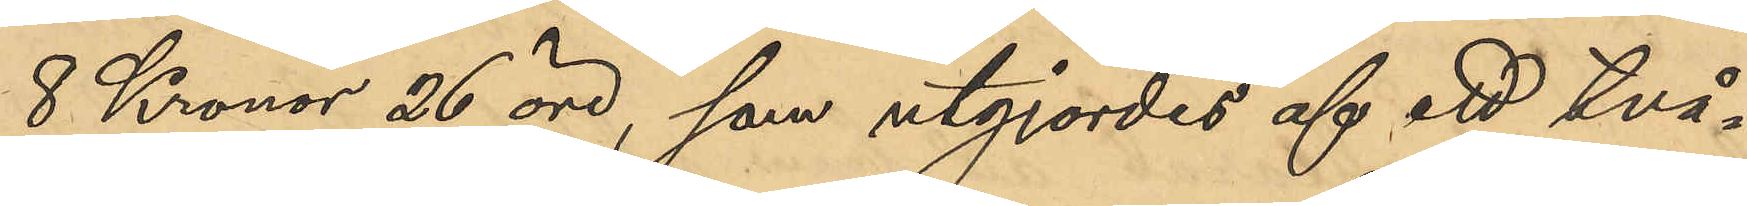8 Kronor 26 öre, som utgjordes af ett två¬
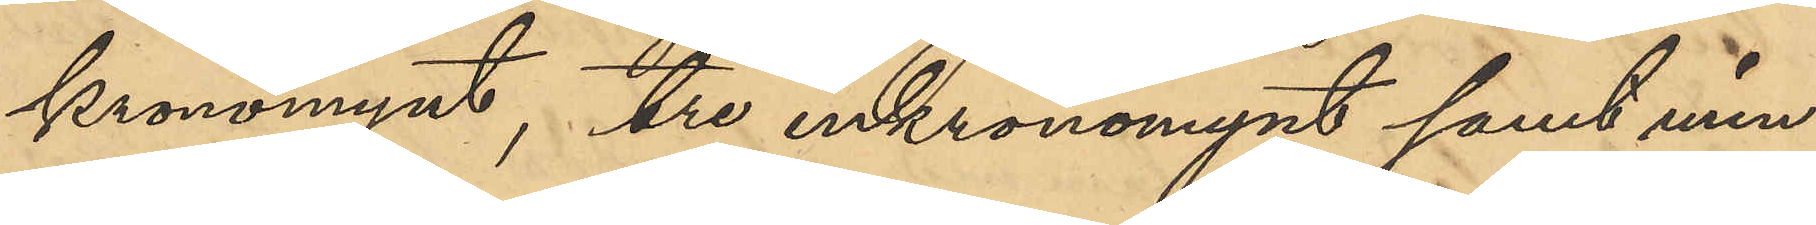kronomynt, tre enkronamynt samt min¬
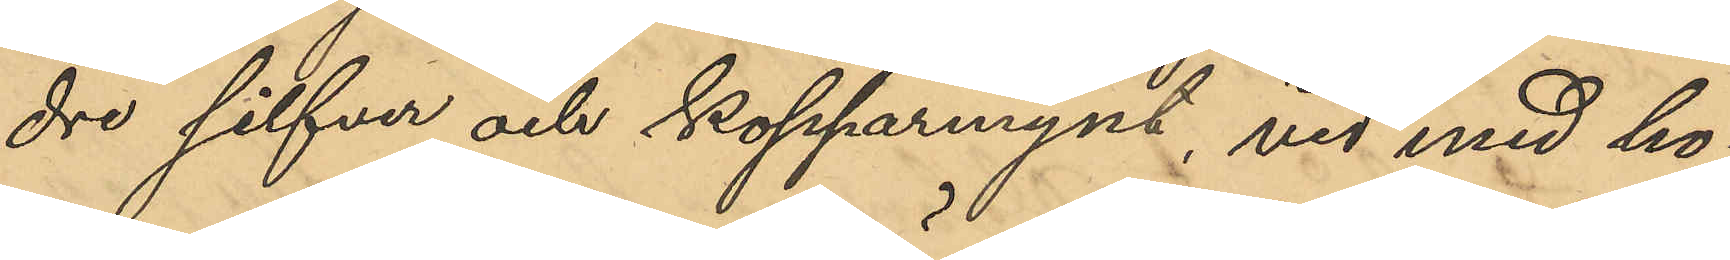dre silfver och kopparmynt, vid med ho¬
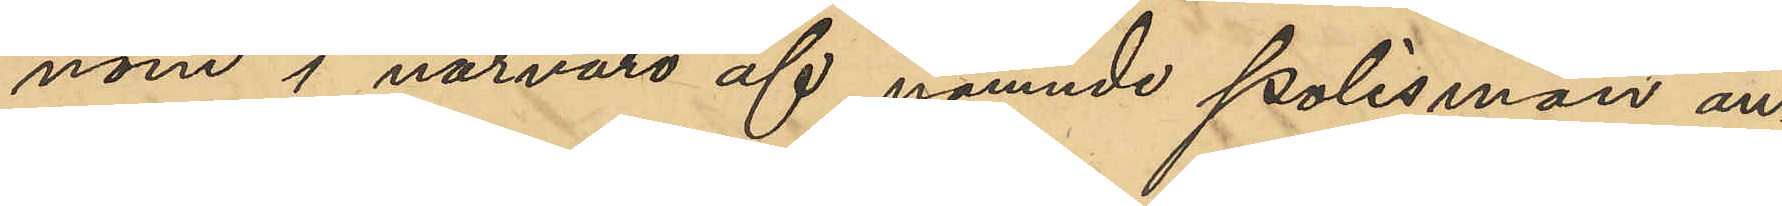nom i närvaro af nämnde polismän an¬
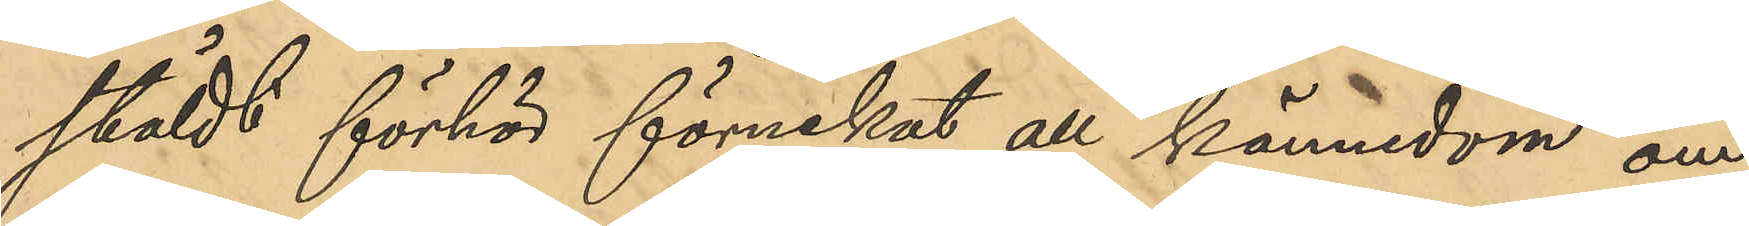stäldt förhör förnekat all kännedom om
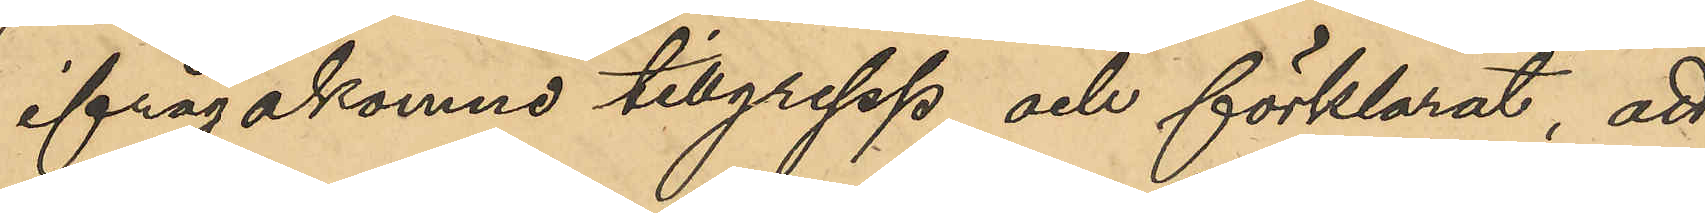ifrågakomne tillgrepp och förklarat, att
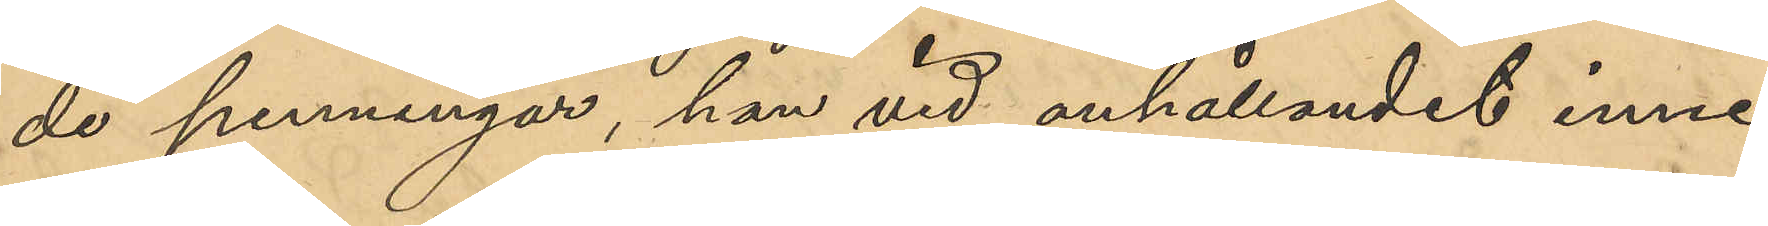de penningar, han vid anhållandet inne¬
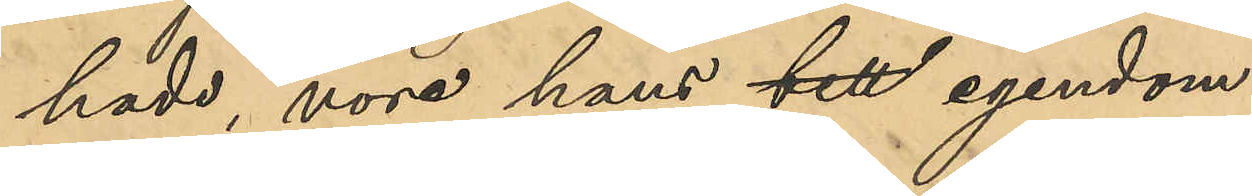hade, vore hans till egendom.
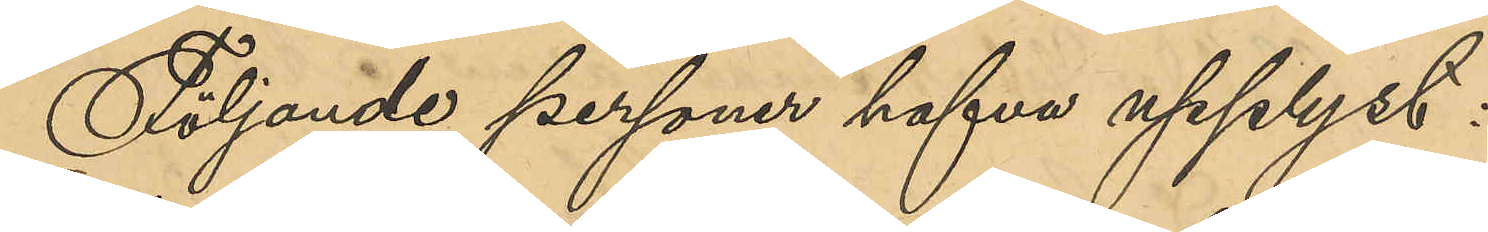Följande personer hafva upplyst:
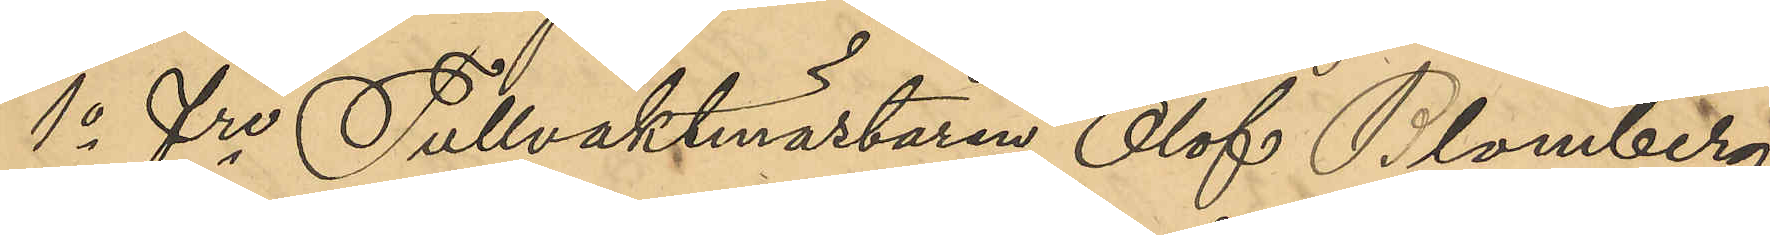1o Fre Tullvaktmästaren Olof Blomberg,
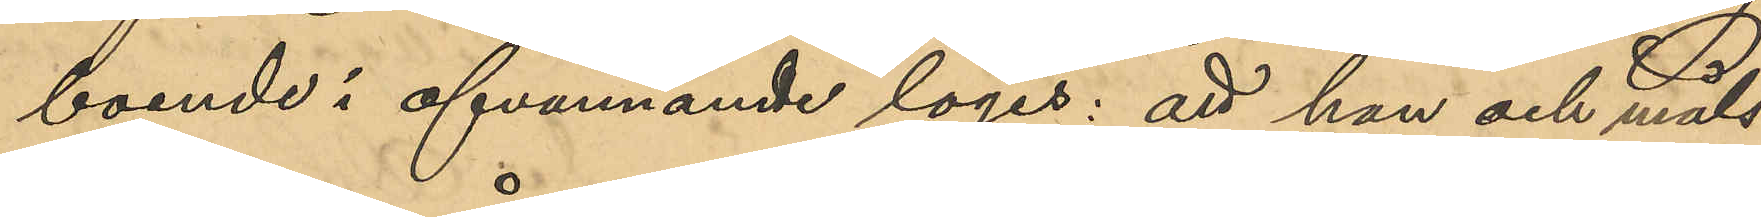boende i ofvannamnde logis: att han och måls¬
